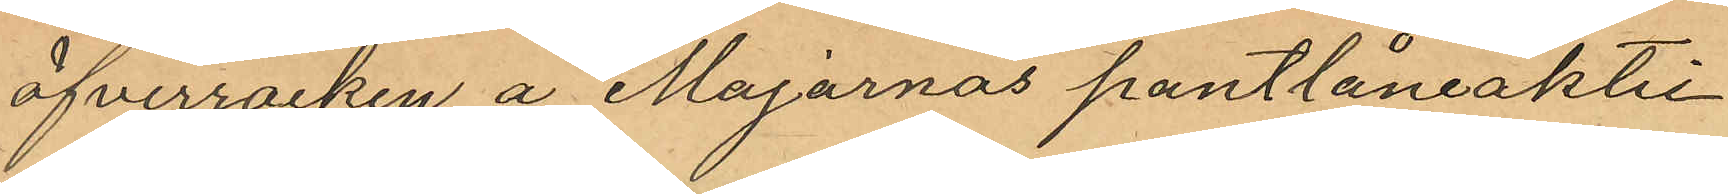öfverrocken å Majornas pantlåneaktie¬
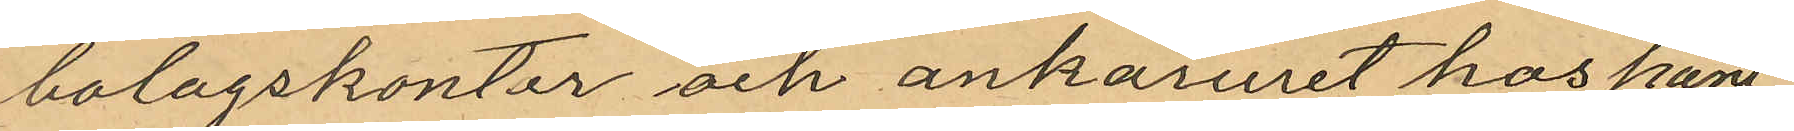bolagskontor och ankaruret hos pant
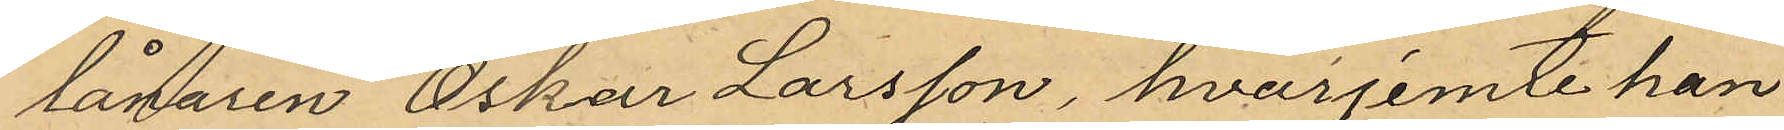lånaren Oskar Larsson, hvarjemte han
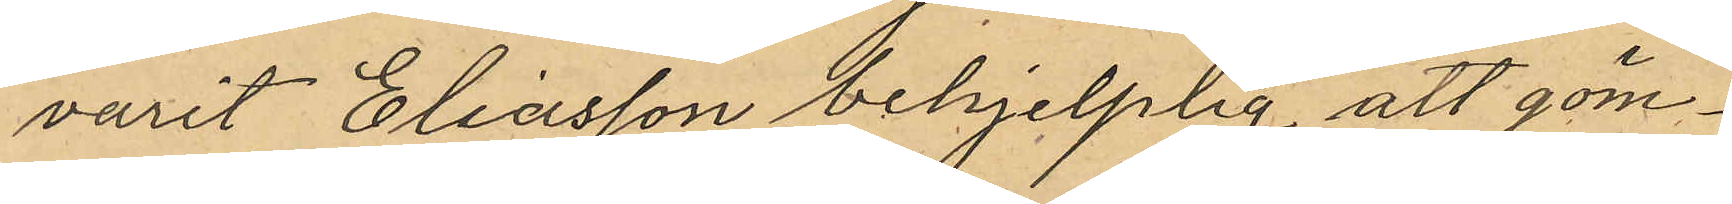varit Eliasson behjelplig att göm¬
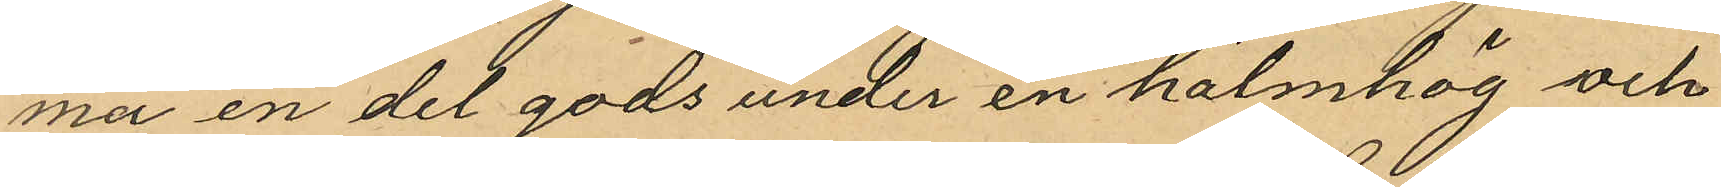ma en del gods under en halmhög och
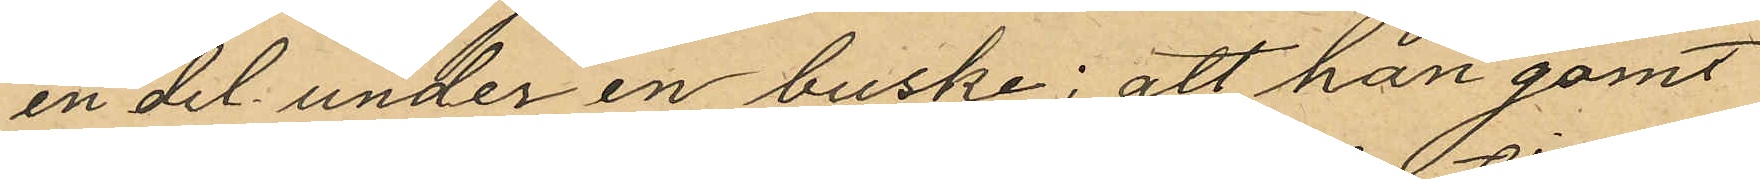en del under en buske; att han gömt
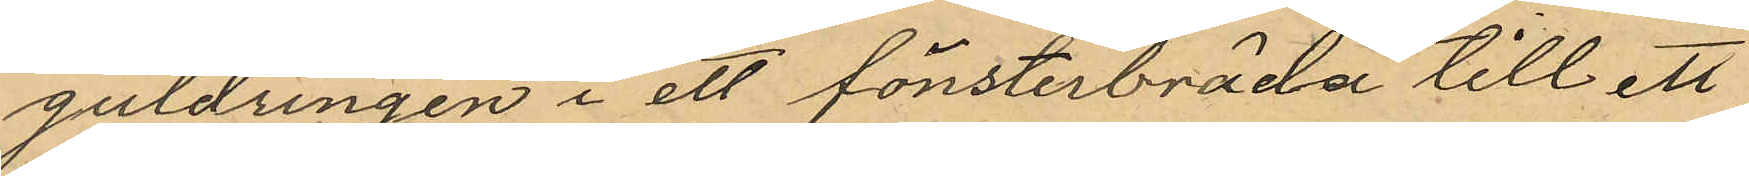guldringen i ett fönsterbräda till ett
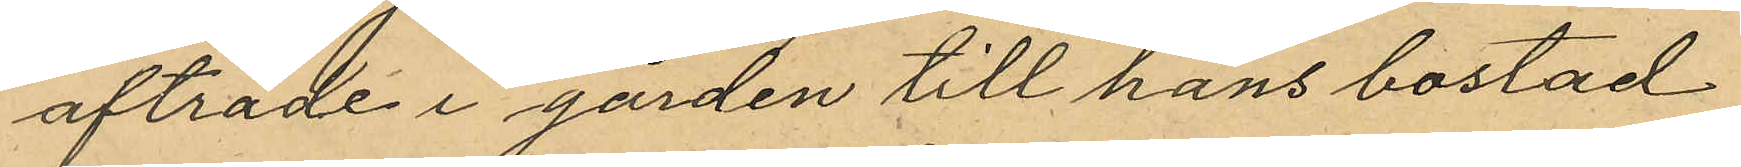afträde i gården till hans bostad
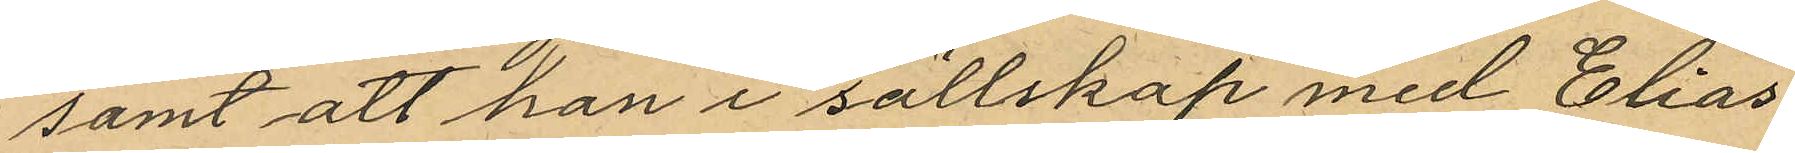samt att han i sällskap med Elias
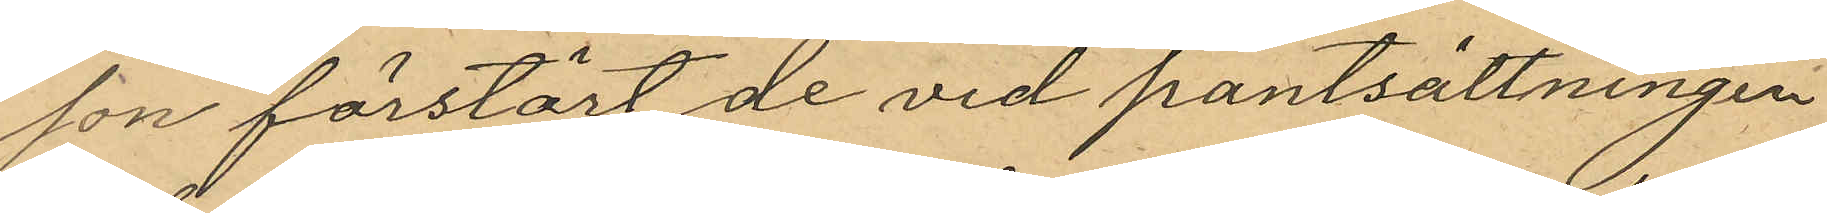son förstört de vid pantsättningen
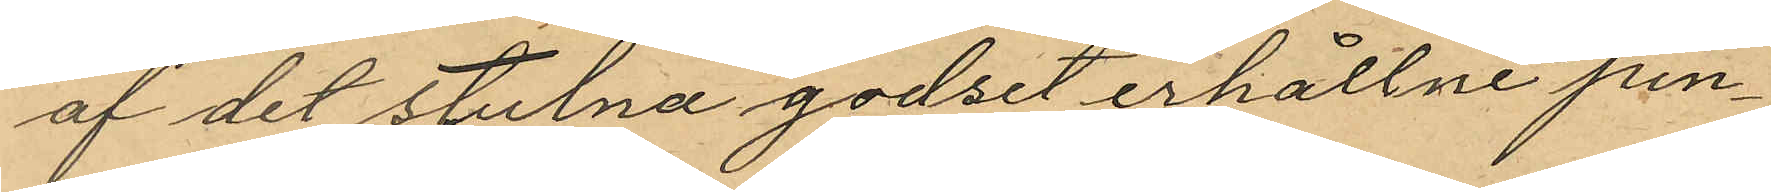af det stulna godset erhållne pen¬
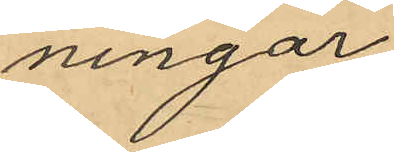ningar
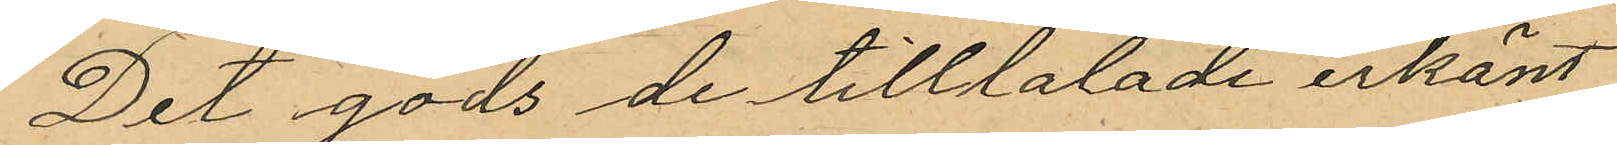Det gods de tilltalade erkänt
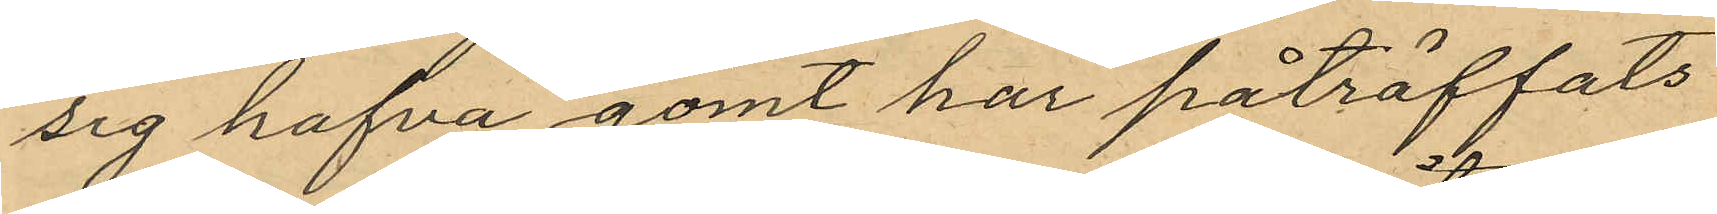sig hafva gömt har påträffats
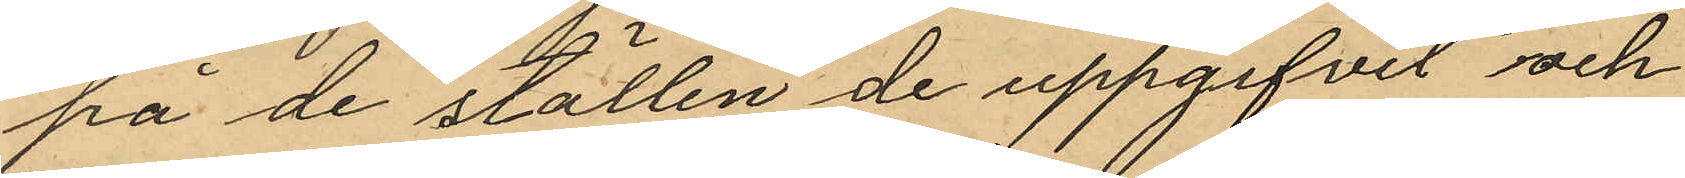på de ställen de uppgifvit och
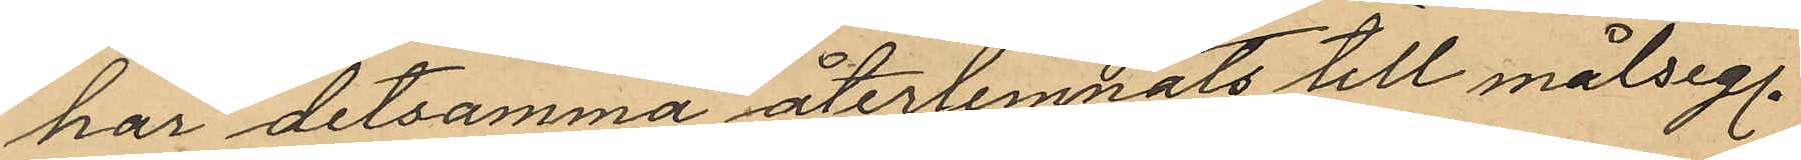har detsamma återlemnats till målseg.
